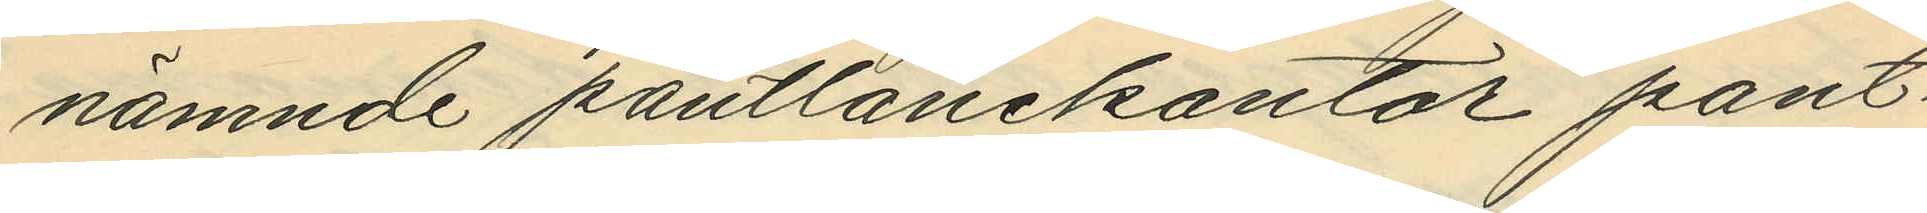nämnde pantlånekontor pant¬
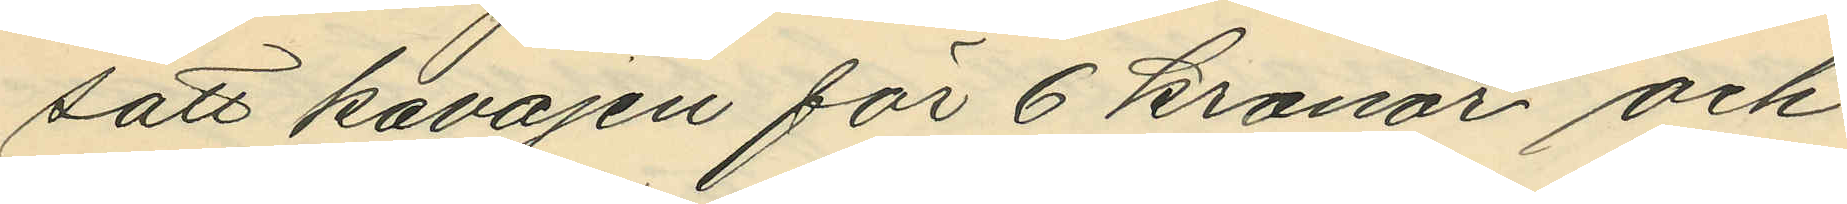satt kavajen för 6 kronor och
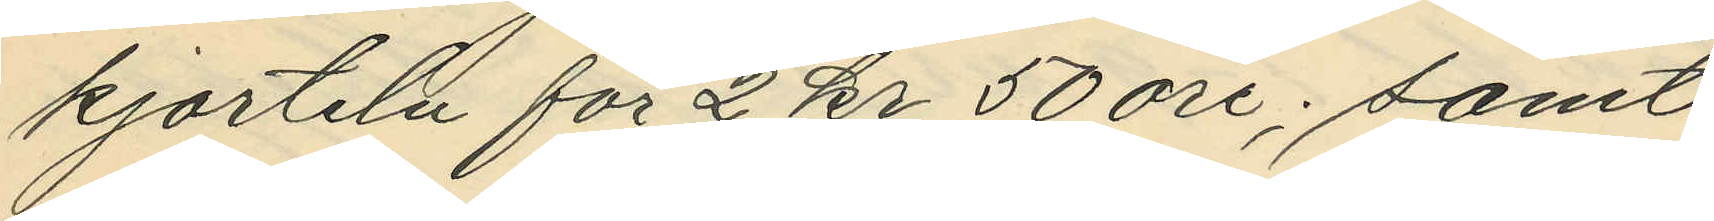kjorteln för 2 kr 50 öre; samt
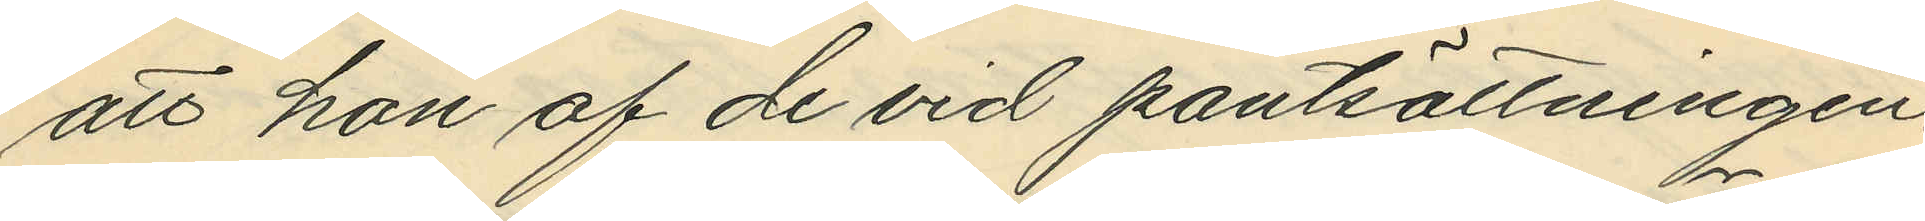att hon af de vid pantsättningen.
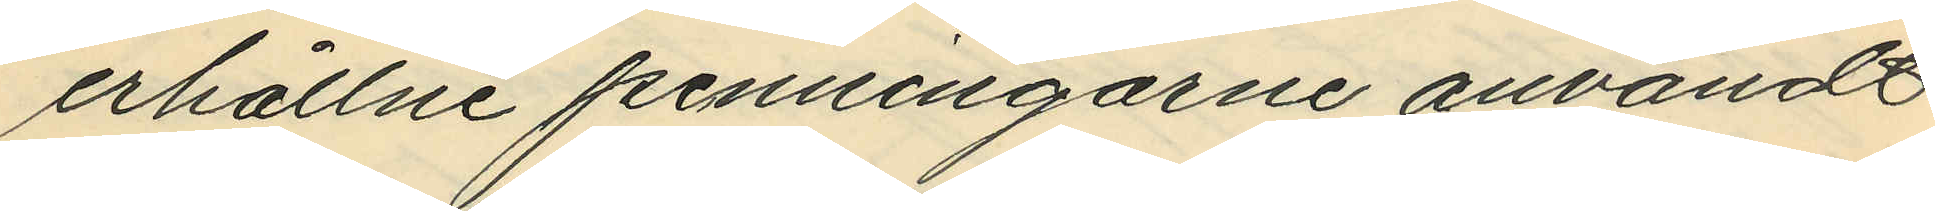erhållne penningarne användt
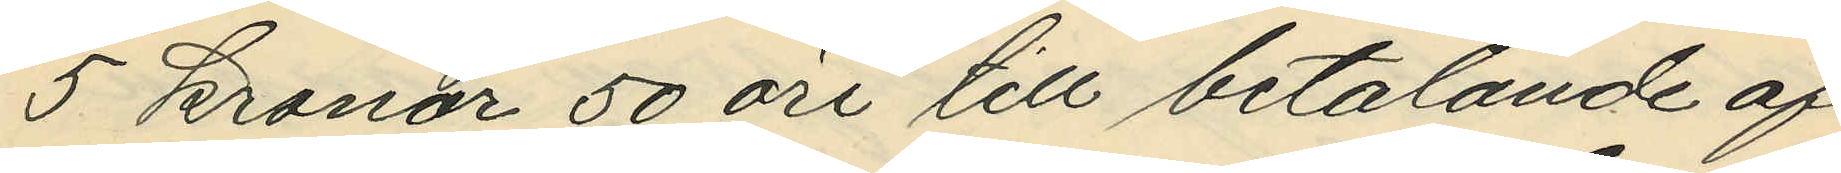5 kronor 50 öre till betalande af
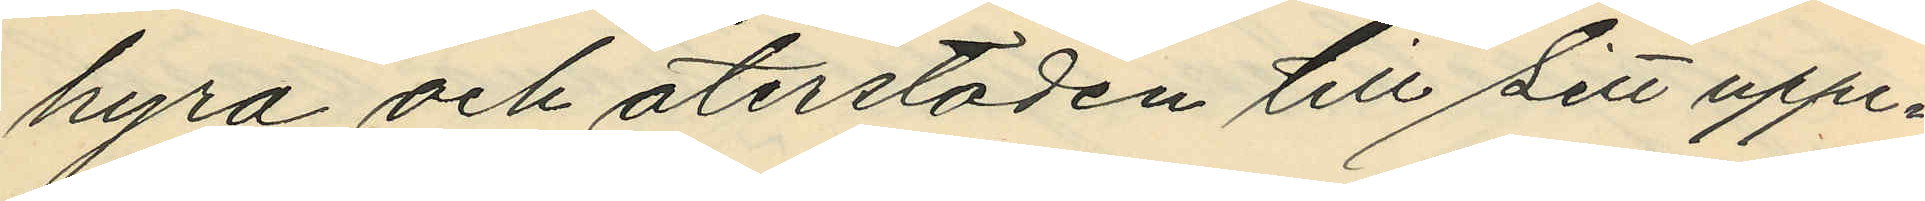hyra och återstoden till sitt uppe¬
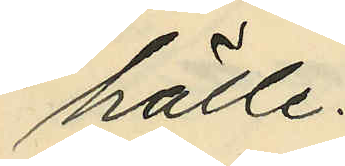hälle.
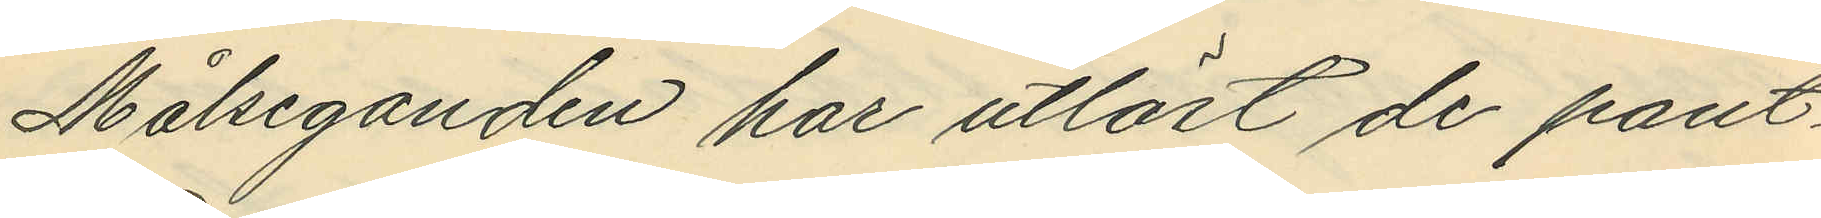Målseganden har utlöst de pant¬
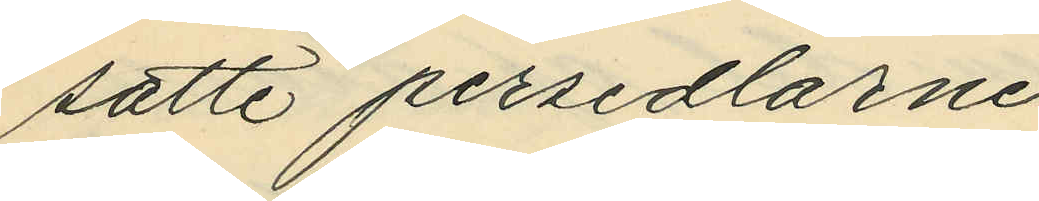satte persedlarne.
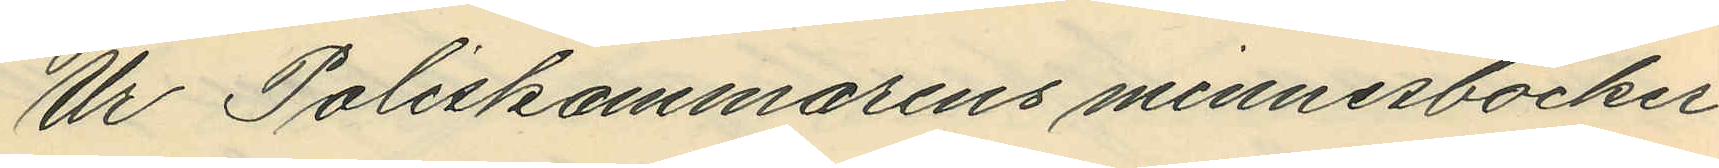Ur Poliskammarens minnesböcker
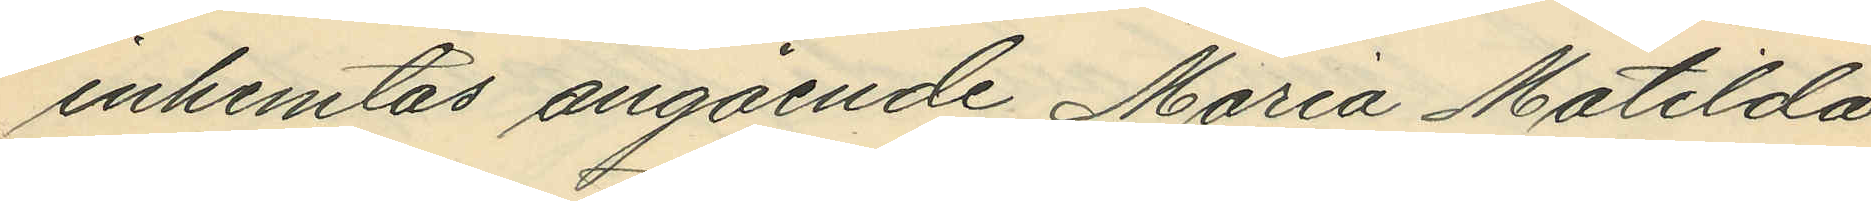inhemtas angående Maria Matilda
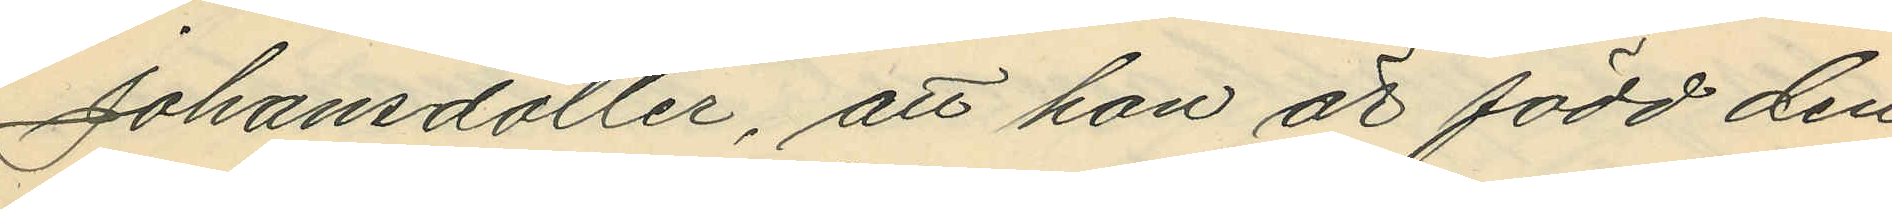Johansdotter, att hon är född den
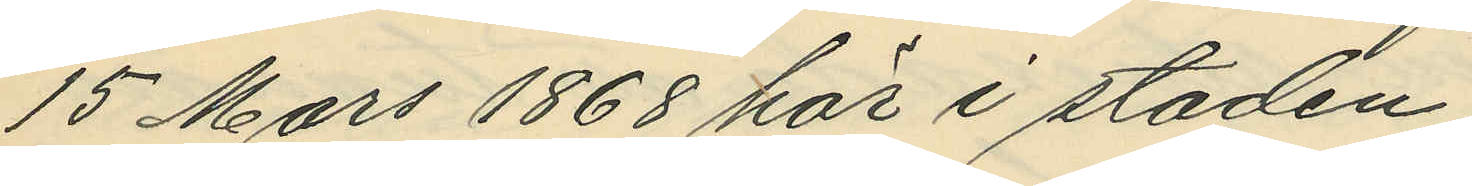15 Mars 1868 här i staden;
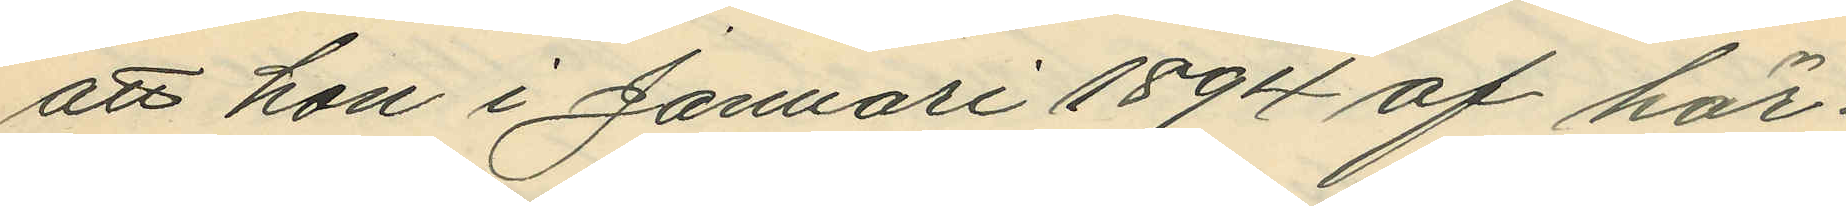att hon i Januari 1894 af här¬
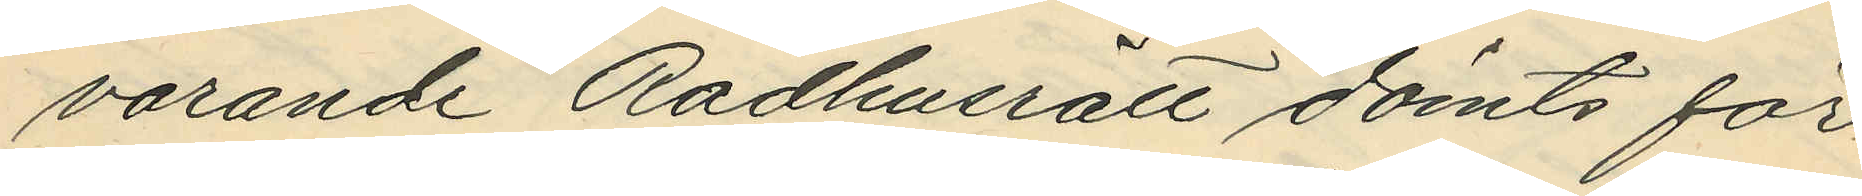varande Rådhusrätt dömts för
